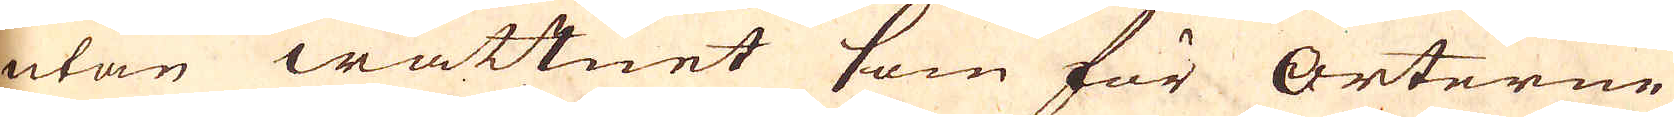utan wattnet som för orterne
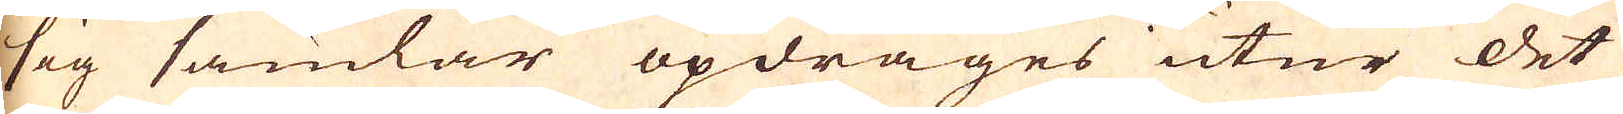sig samlar opdrages utur det
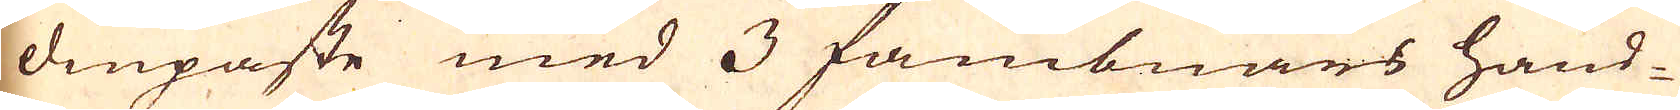diupaste med 3 fambnars hand-
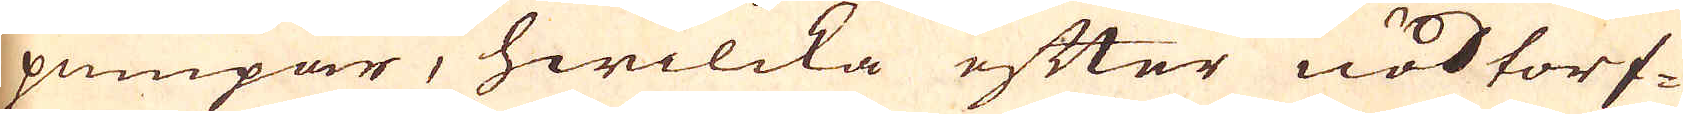pumpar, hwilcka efter nödtorf-
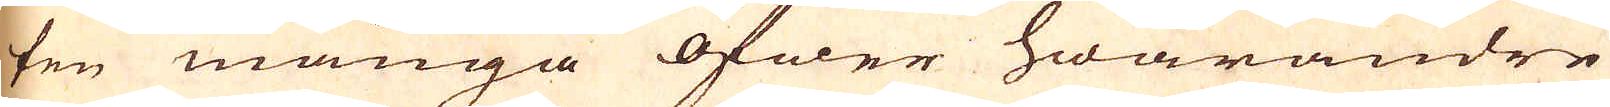ten många öfwer hwarandre
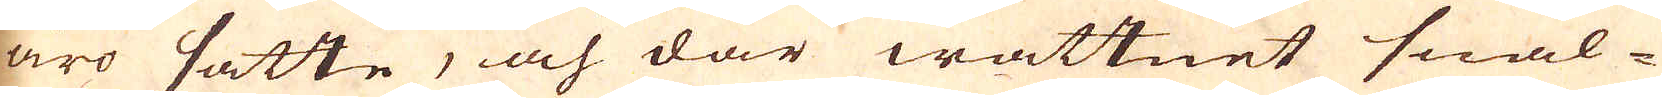äro satte, och där wattnet snäl-
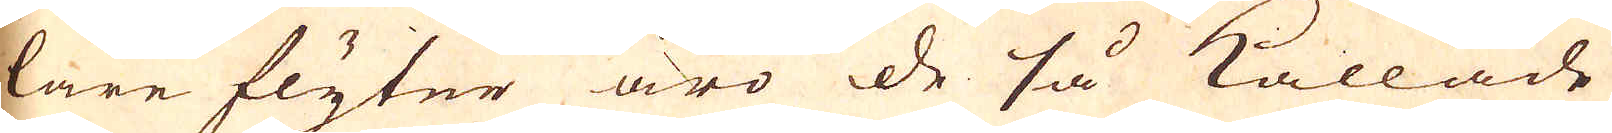lare flyter äro de så kallade
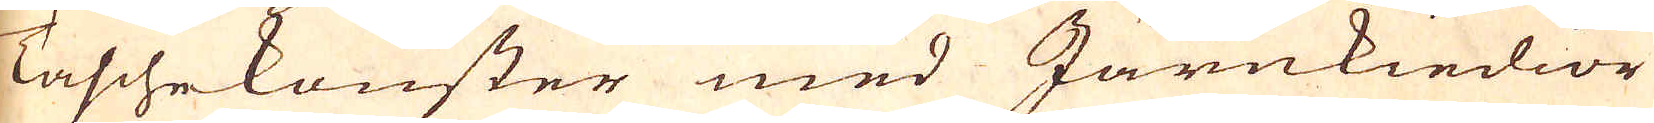Taschekonster med Järnkiedior
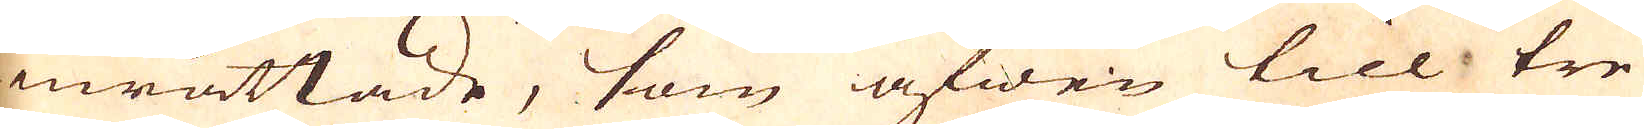inrättade, som äfwen till tre
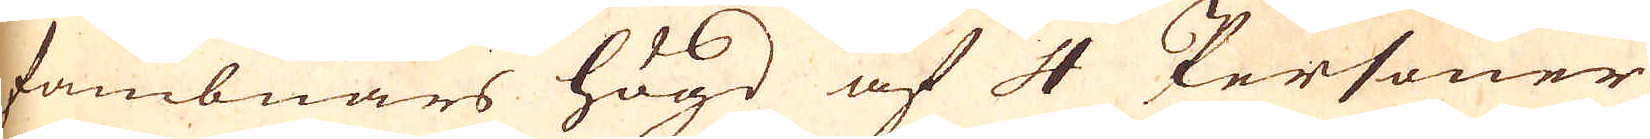fambnars högd af 4 Personer
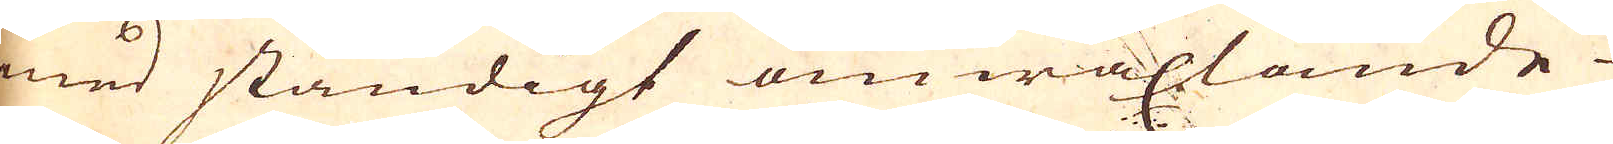med ständigt omwäxlamde
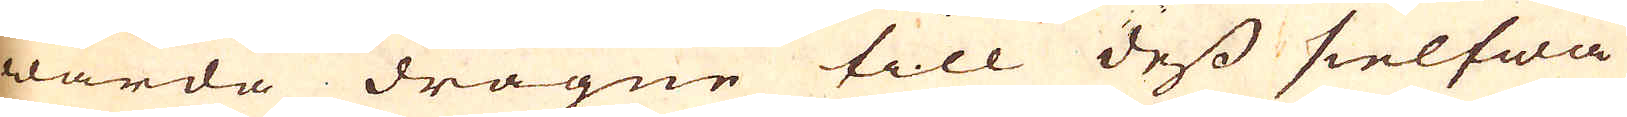warda dragne till dess sielfwa
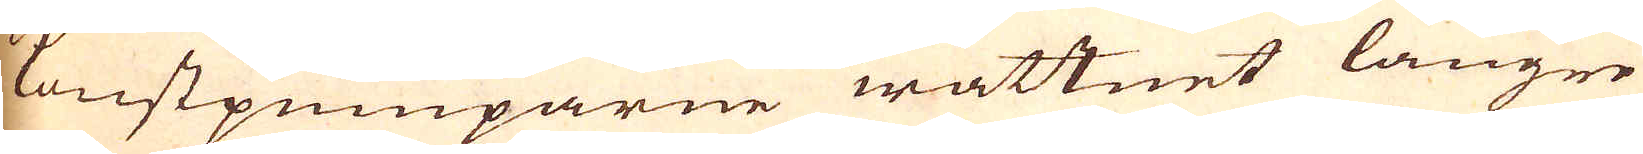konstpumparne wattnet längre
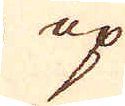op
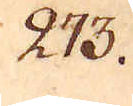273.
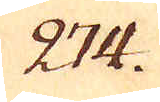274.
